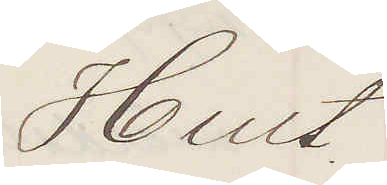Hult
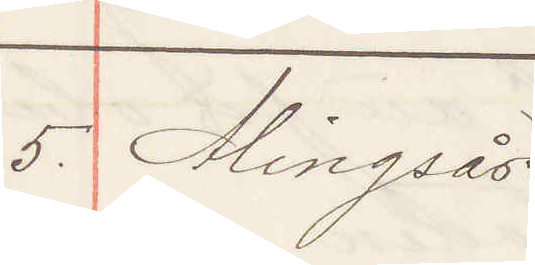5. Alingsås.
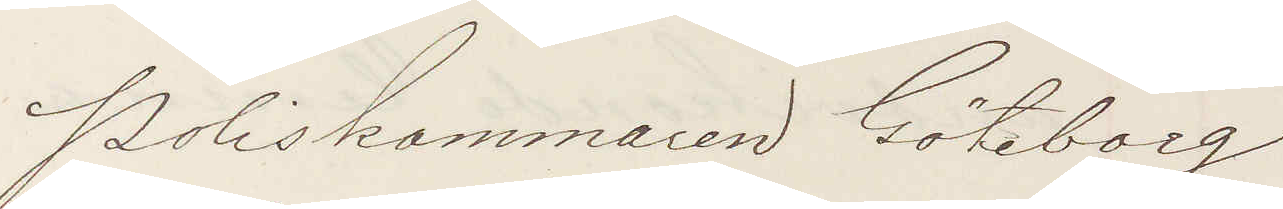Poliskammaren Göteborg
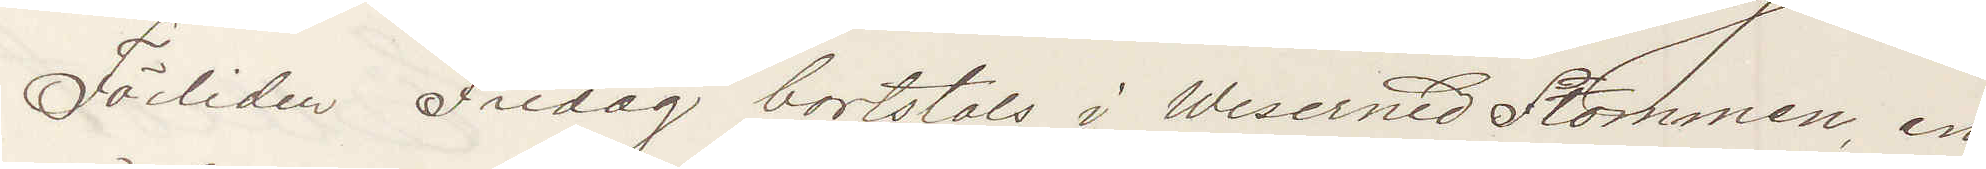Förliden Fredag bortstals i Weserned Stommen en
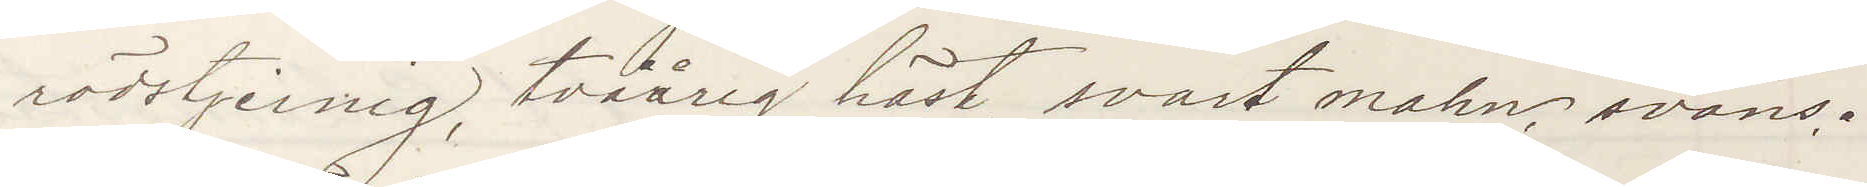rödstjernig, tvåårig häst, svart mahn, svans.
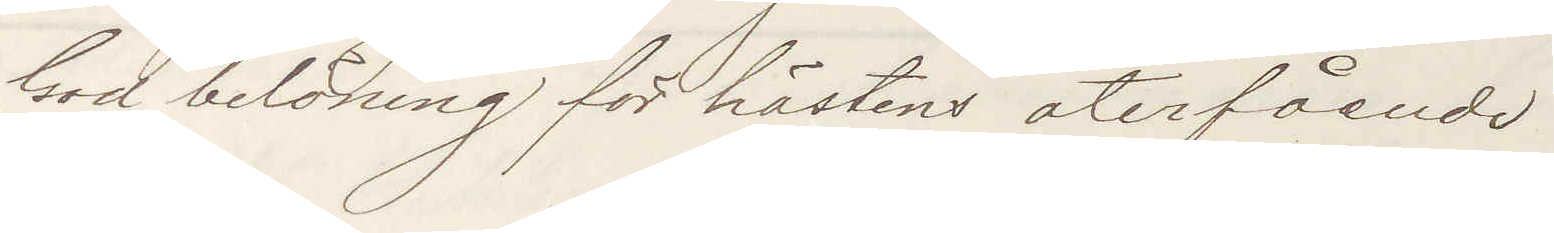God belöning för hästens återfående
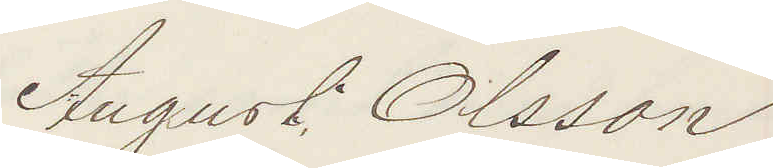August Olsson
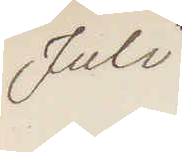Juli
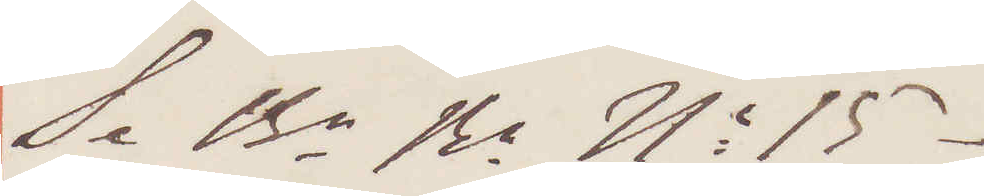Se Br Bn No 15
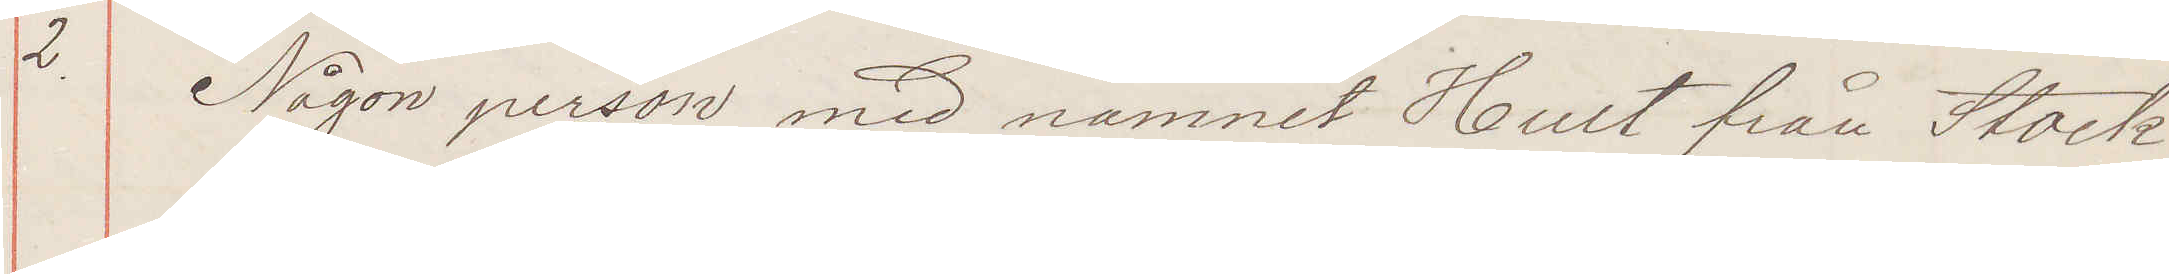2. Någon person med namnet Hult från Stock¬
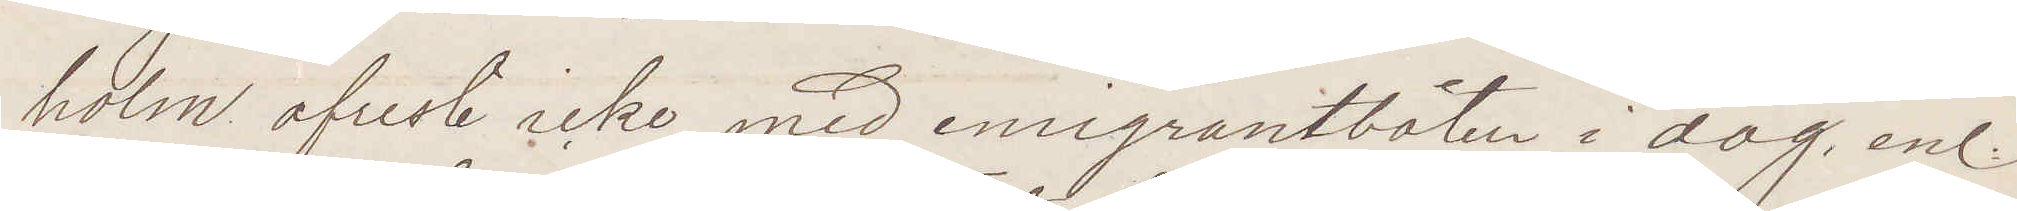holm afreste icke med emigrantbåten i dag enl.
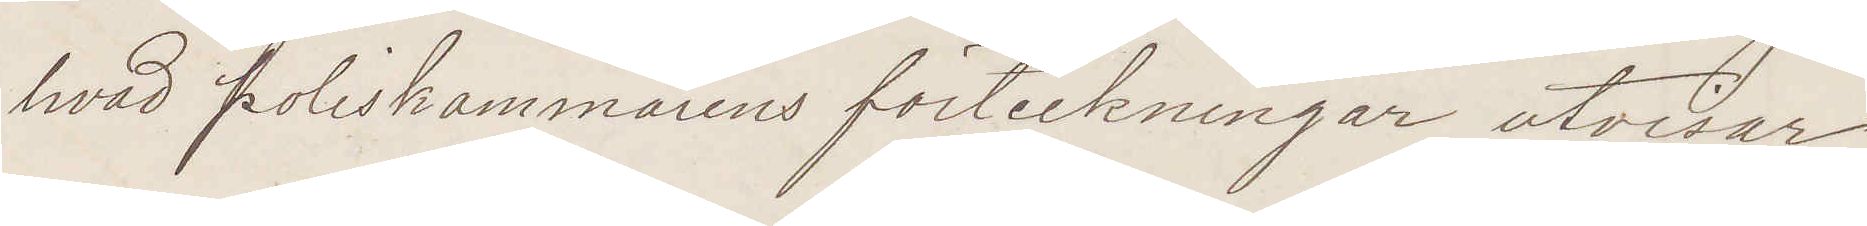hvad Poliskammarnes förteckningar utvisar
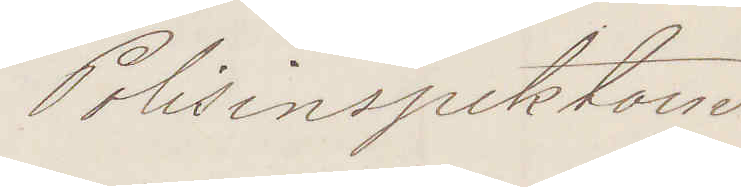Polisinspektorn
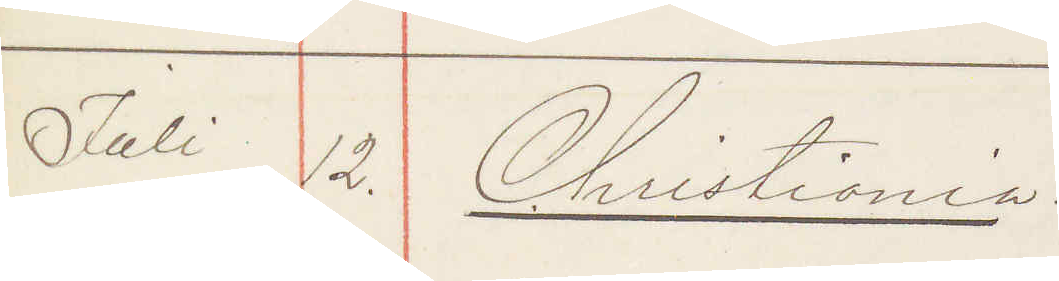Juli 12. Christiania
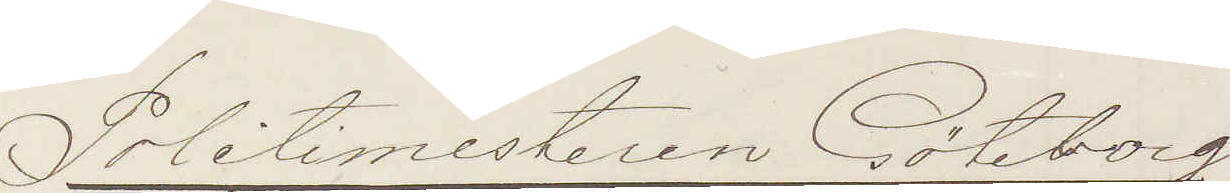Politimesteren Göteborg
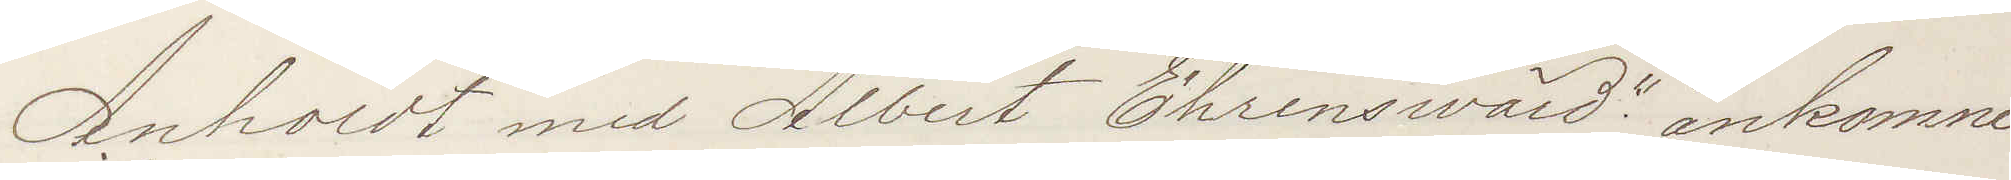Anholdt med "Albert Ehrensvärd" ankomne
